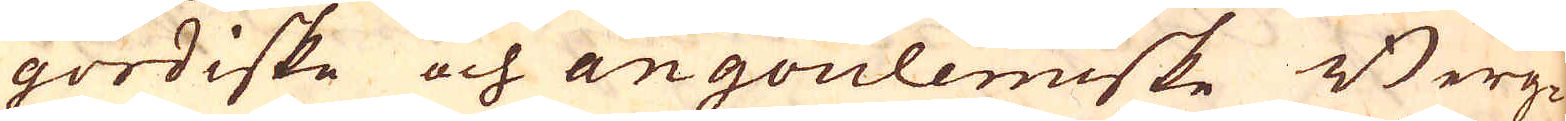gordiske och angoulemiske Berg-
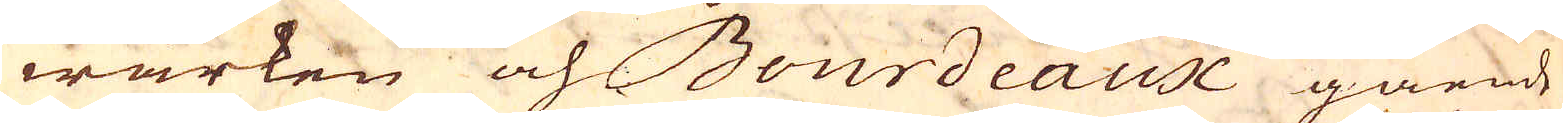wärken och Bourdeaux gående
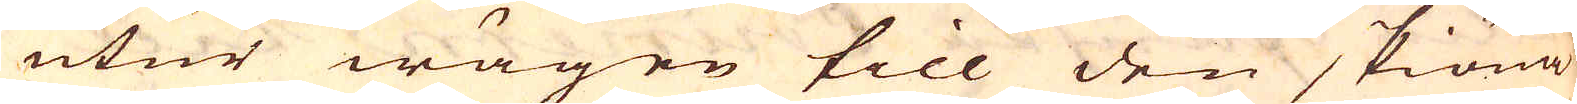utur wägen till den skiöna
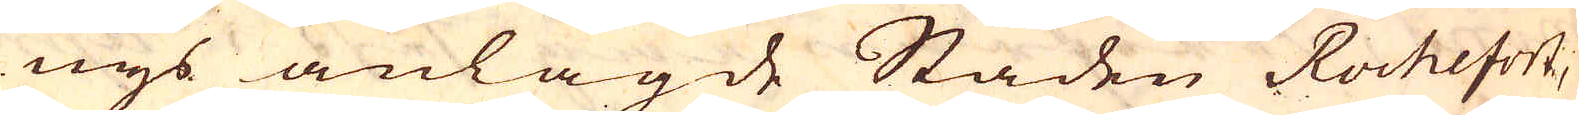nys anlagde Staden Rochefort,
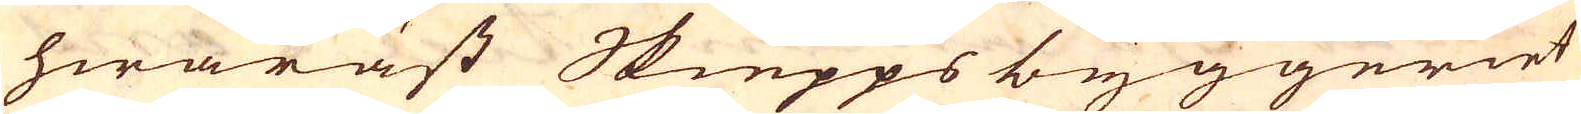hwaräst Skiepps byggeriet
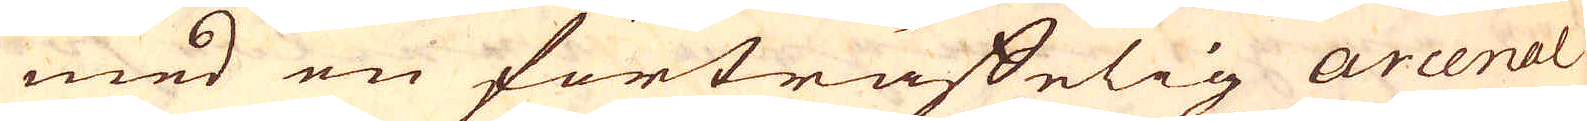med en förträffelig arcenal
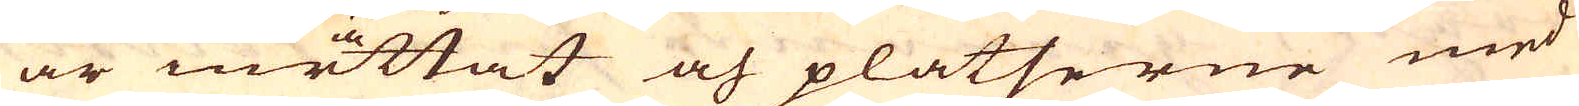är inrättat och platserne med
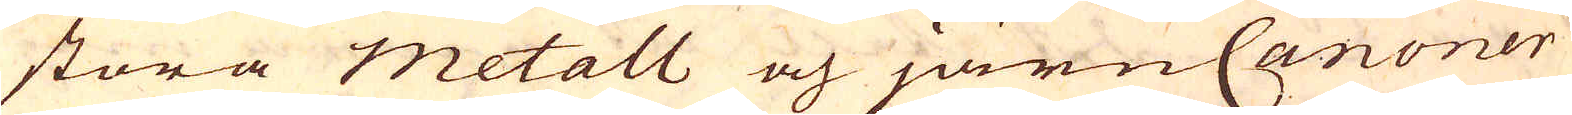stora metall och järnCanoner
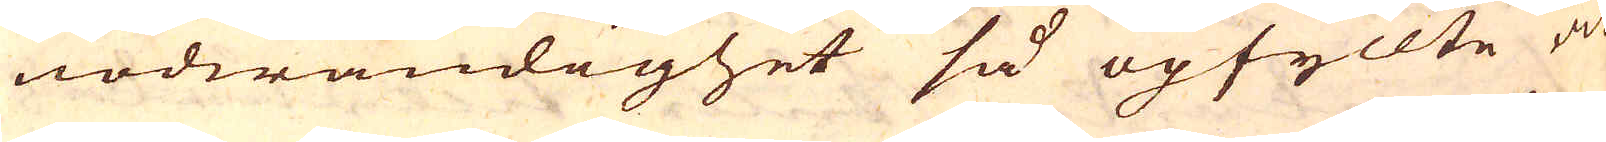nödwändighet så upfyllte at
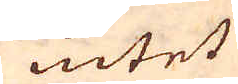intet
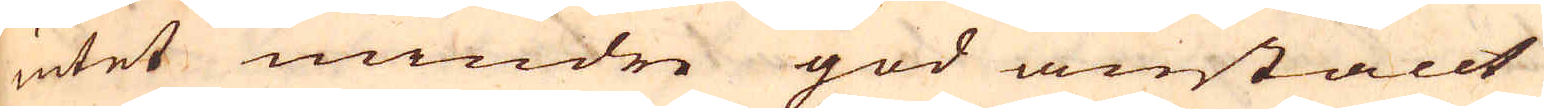intet mindre god anställt
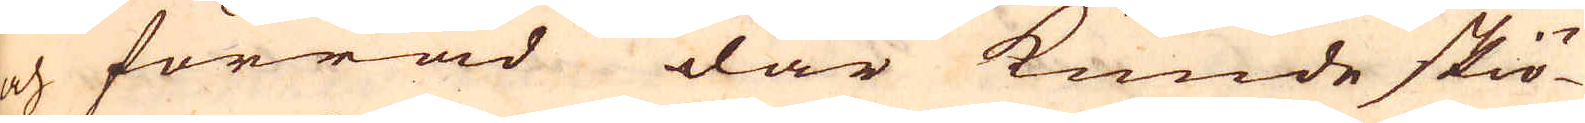och förråd där kunde skiö-
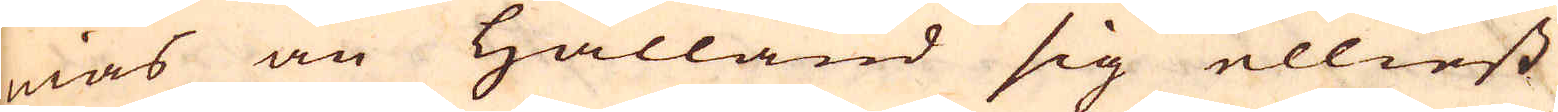nias än Hålland sig elliest
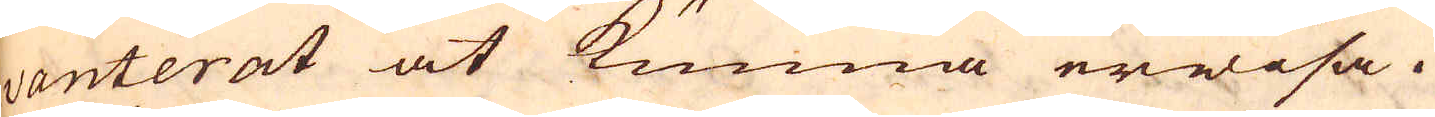vanterat at kunna erwisa.
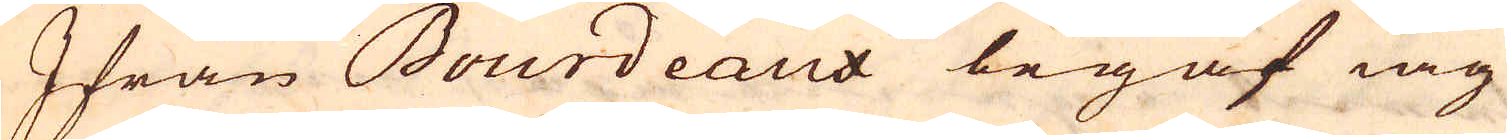Ifrån Bourdeaux begaf iag
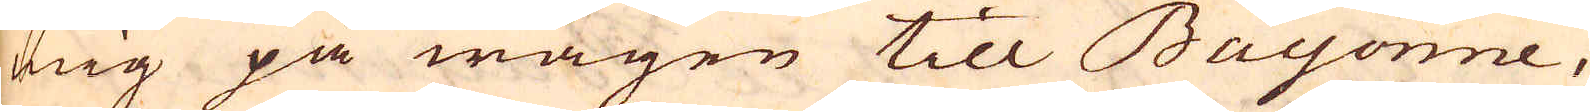mig på wägen till Bayonne,
